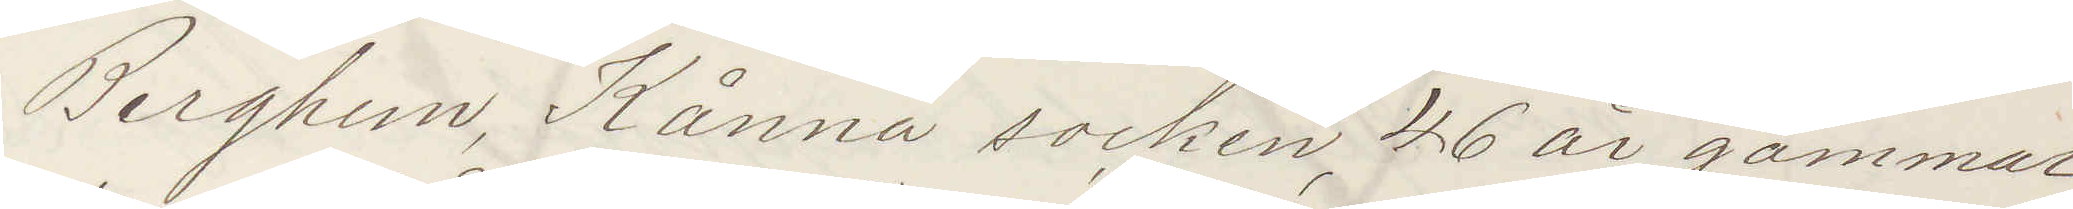Berghem, Kånna socken, 46 år gammal,
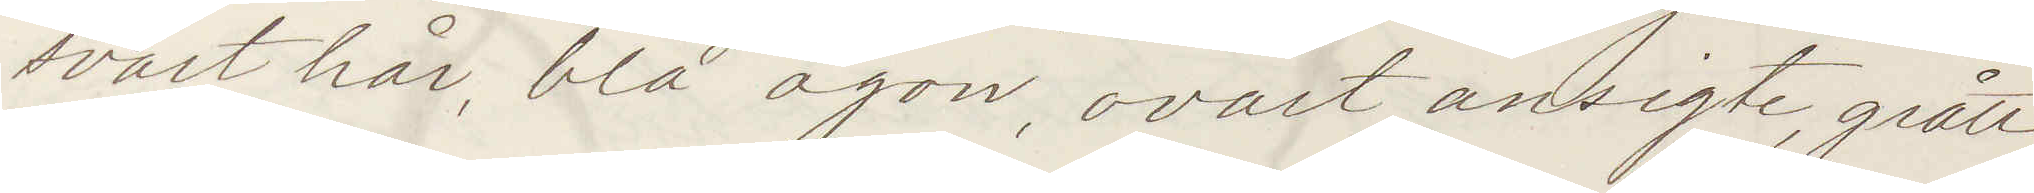svart hår, blå ögon, ovalt ansigte, grått
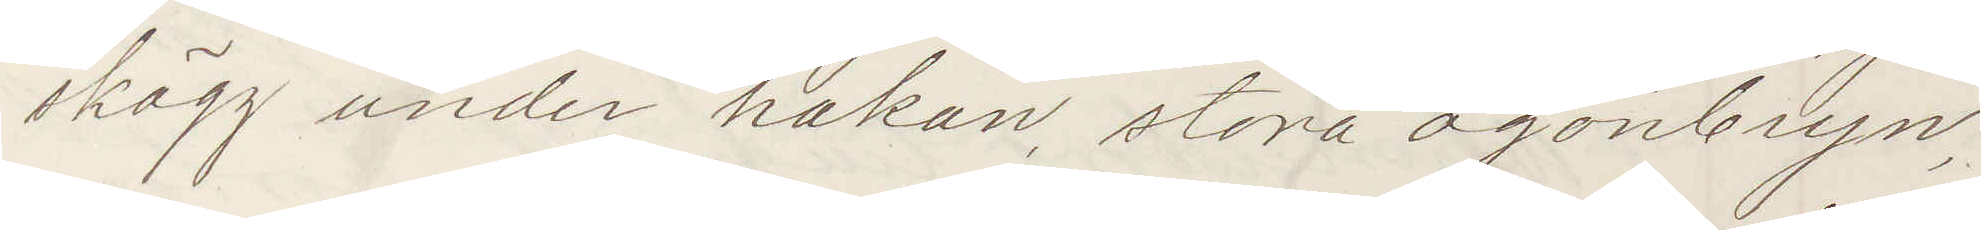skägg under hakan, stora ögonbryn,
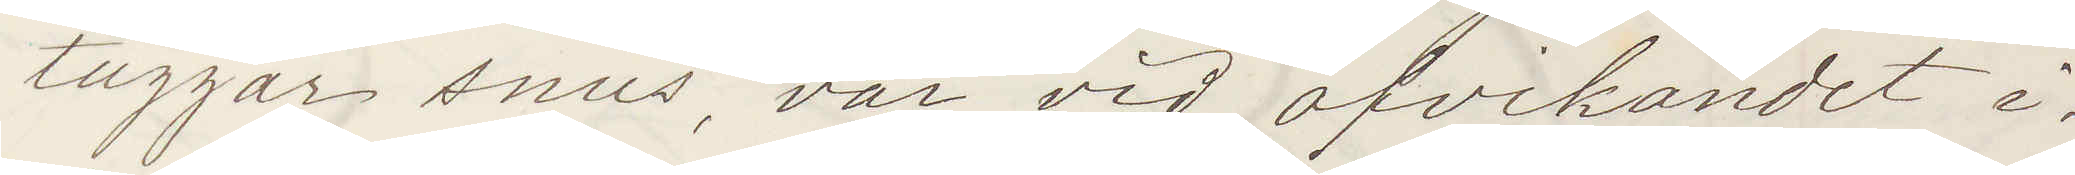tuggar snus, var vid afvikandet i¬
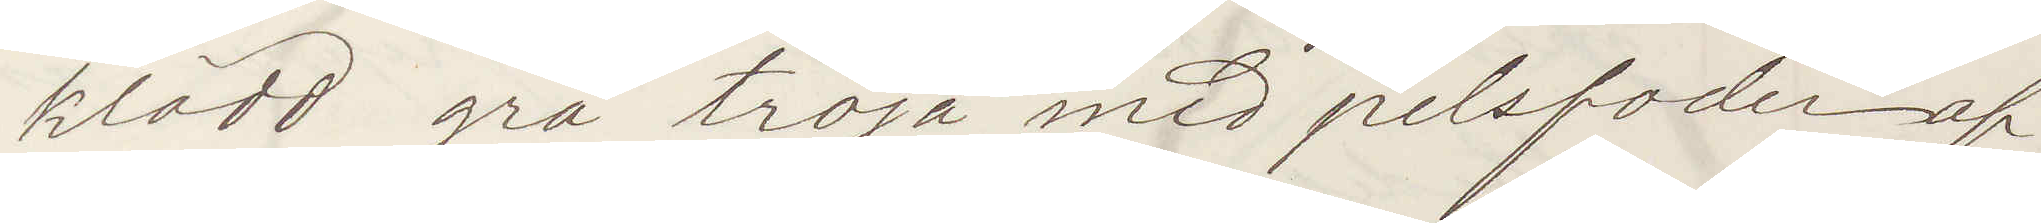klädd grå tröja med pelsfoder af
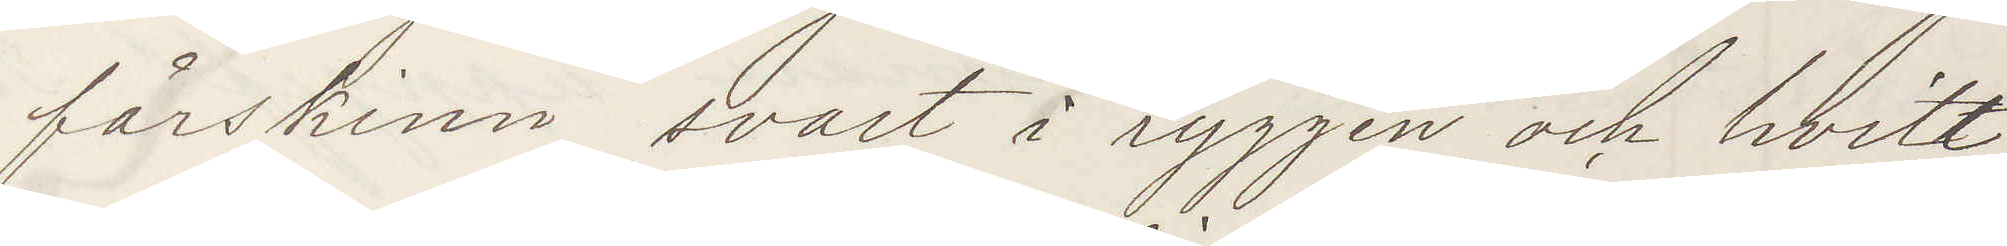fårskinn, svart i ryggen och hvitt
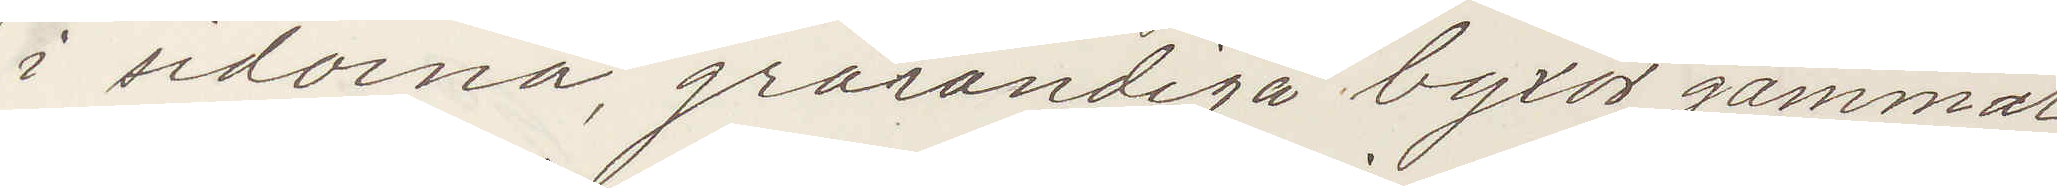i sidorna, grårandiga byxor, gammal
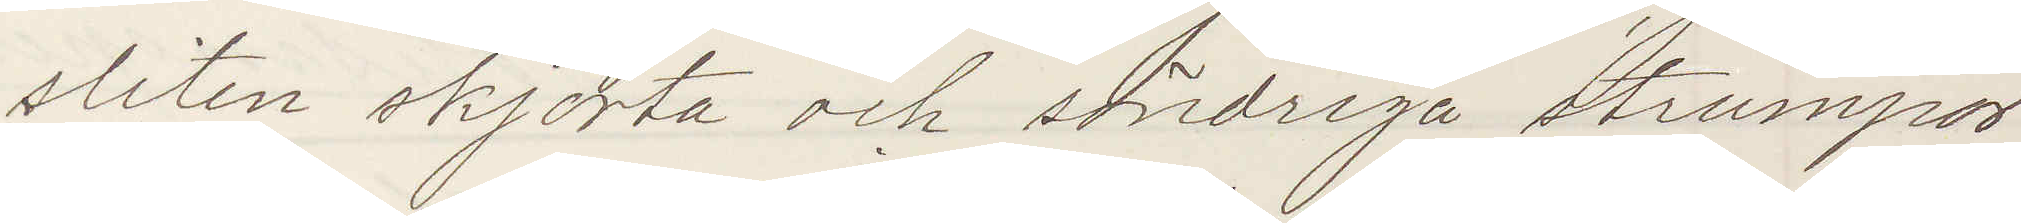sliten skjorta och söndriga strumpor
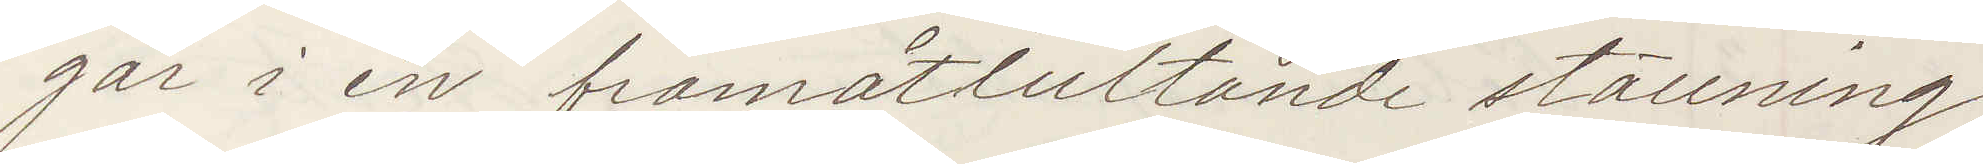går i en framåtlutande ställning,
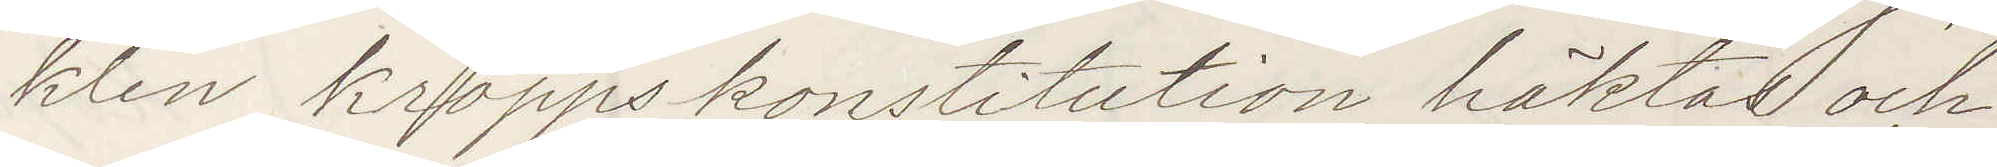klen kroppskonstitution, häktas och
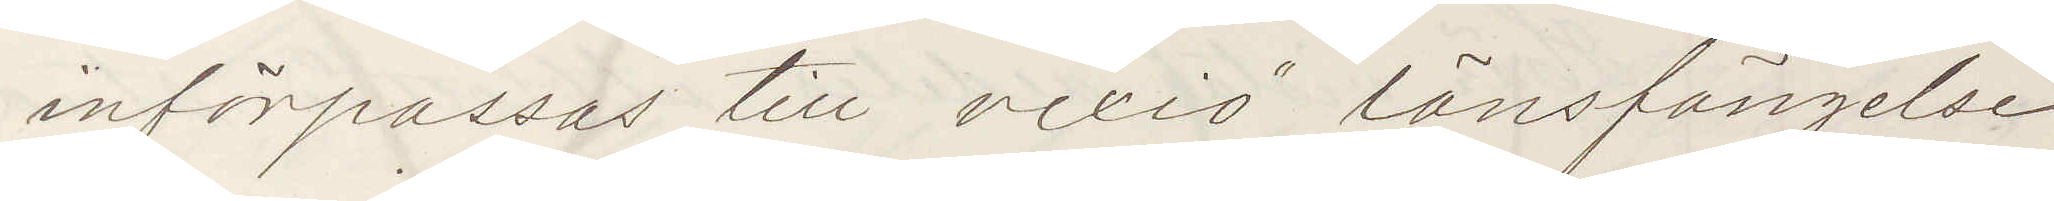införpassas till vexiö länsfängelse
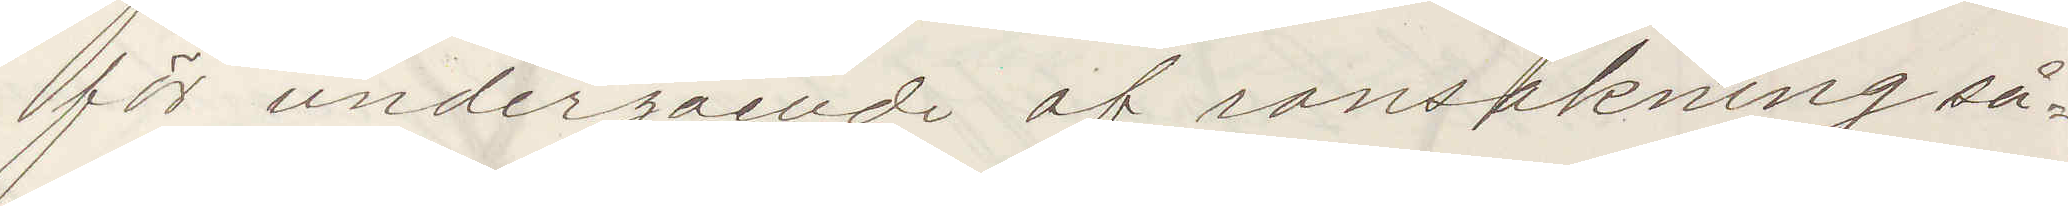för undergående af ransakning så¬
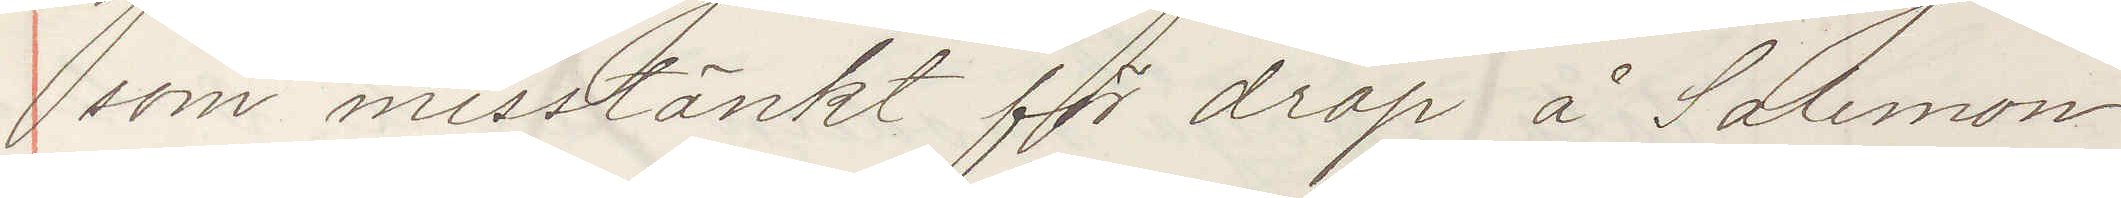som misstänkt för dråp å Solemon
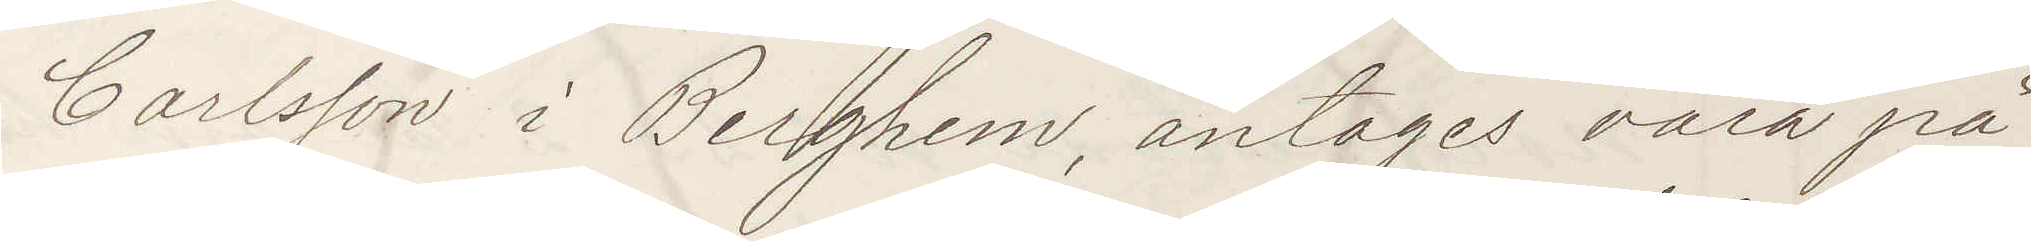Carlsson i Berghem, antages vara på
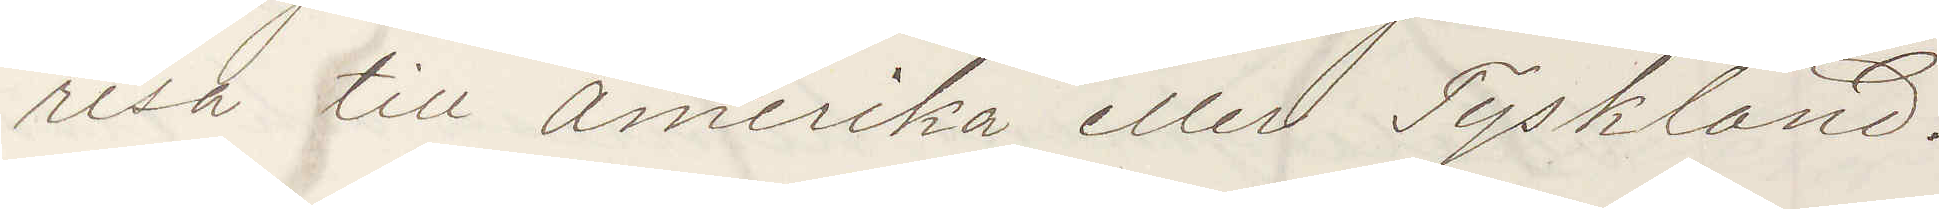resa till Amerika eller Tyskland.
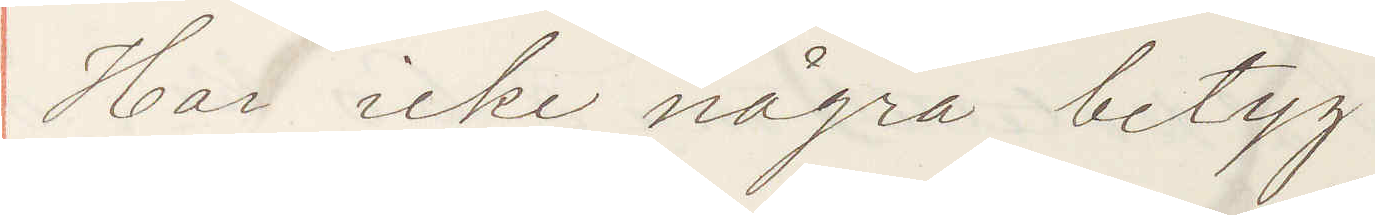Har icke några betyg.
